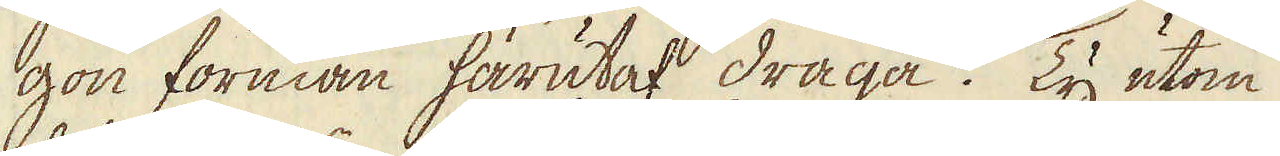gon förmån härutaf draga. Ty utom
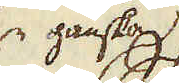ganska
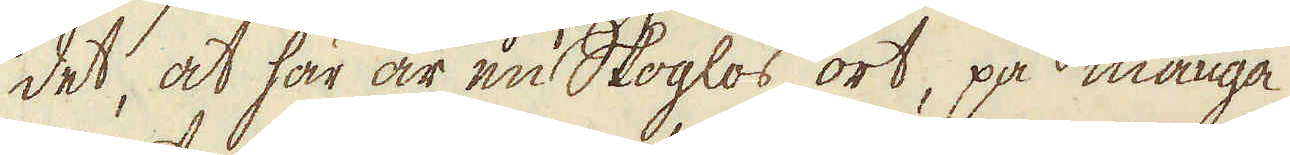det, at här är en Skoglös ort, på många
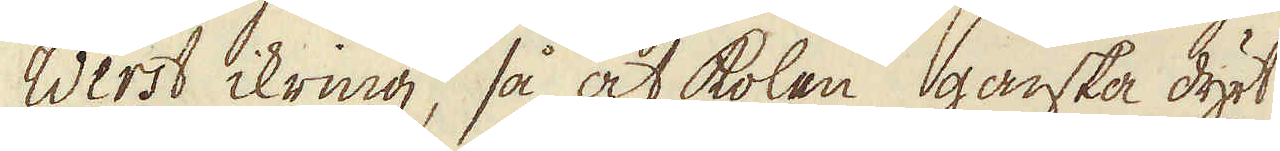Werst ikring, så at kolen ganska dyrt
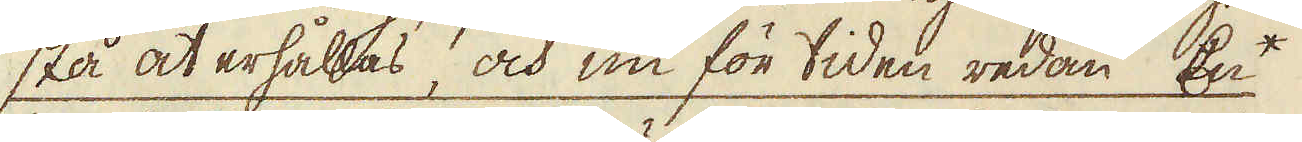stå at erhållas, och nu för tiden redan En*
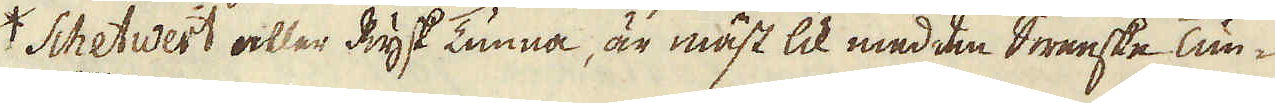*Schetwert eller en Rysk tunna, är mäst lik med den Swenska Tun-
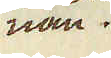nan.
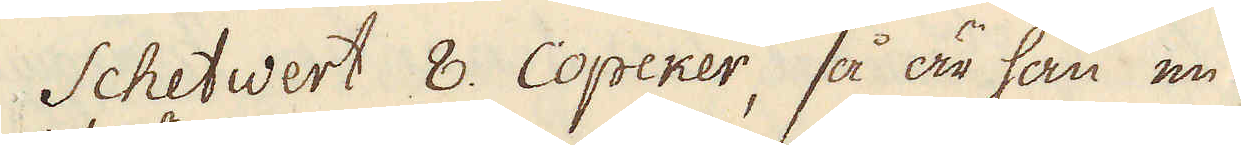Schetwert 8. Copeker, så är han en
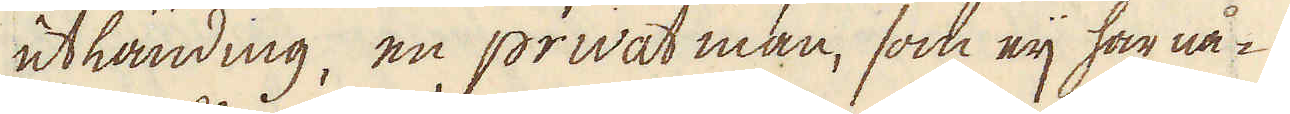utländing, en privat man, som eij har nå-
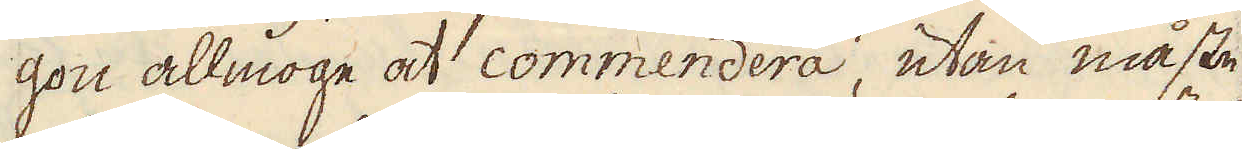gon allmoge at commendera, utan måste
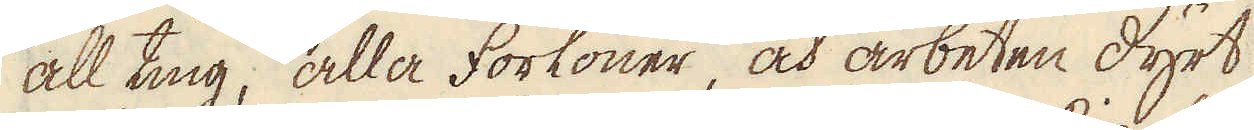all ting, alla förlöner, och arbeten dyrt
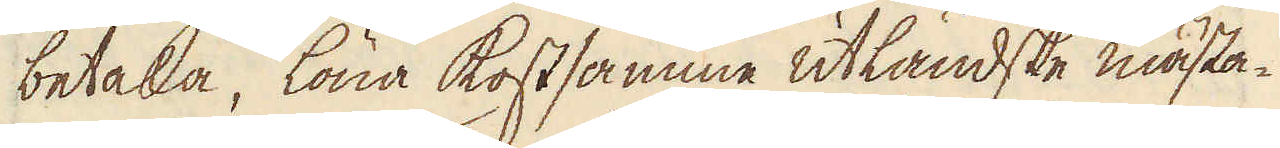betala, löna kostsamme utländske mästa-
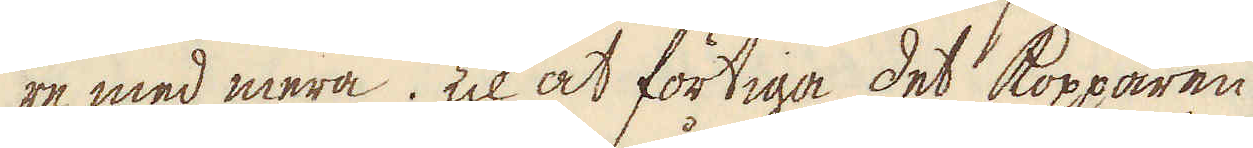re med mera. Til at förtiga det kopparen
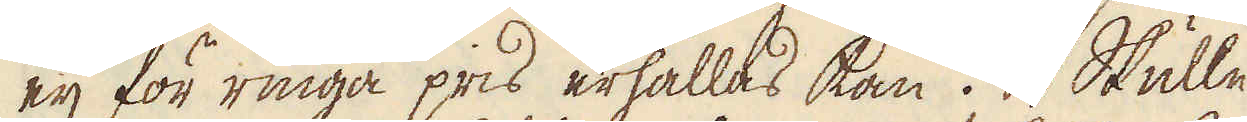eij för ringa pris erhållas kan. Skulle
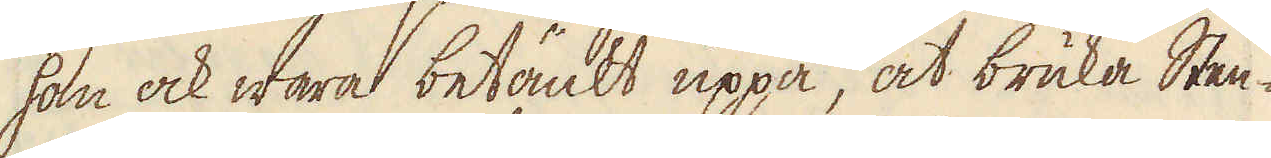han ock wara betänkt uppå, at bruka Sten-
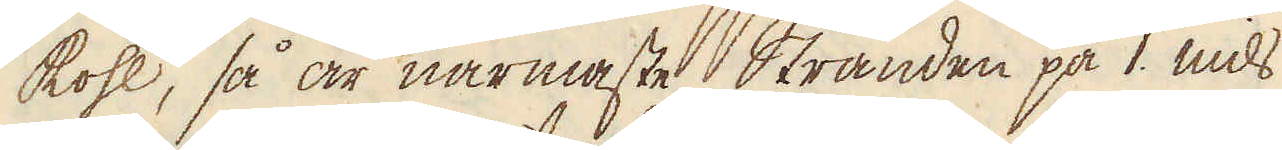kohl, så är närmaste Stranden på 1. mils
